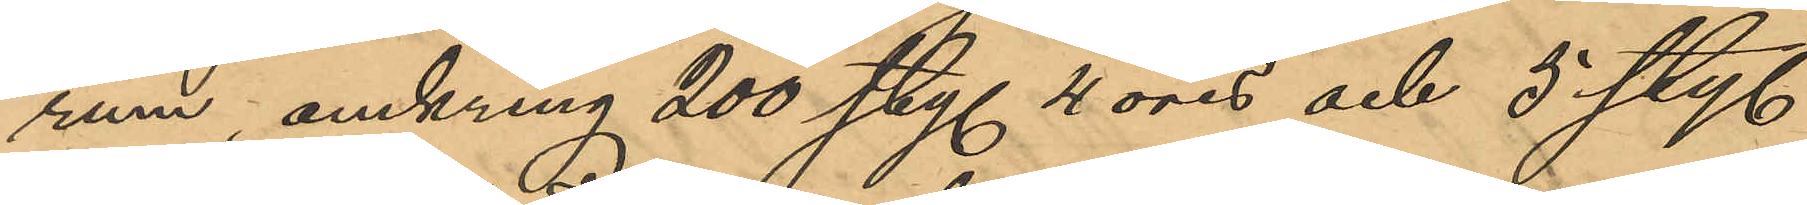rum, omkring 200 sty. 4 öres och 5 sty.
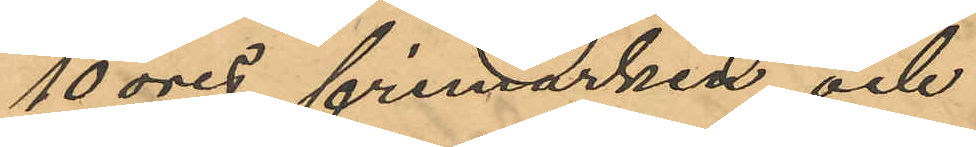10 öres frimärken, och
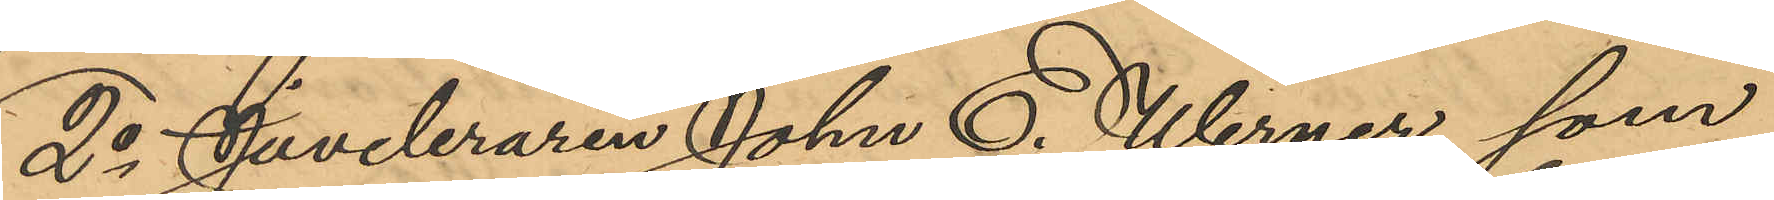2o Juveleraren John E. Werner, som
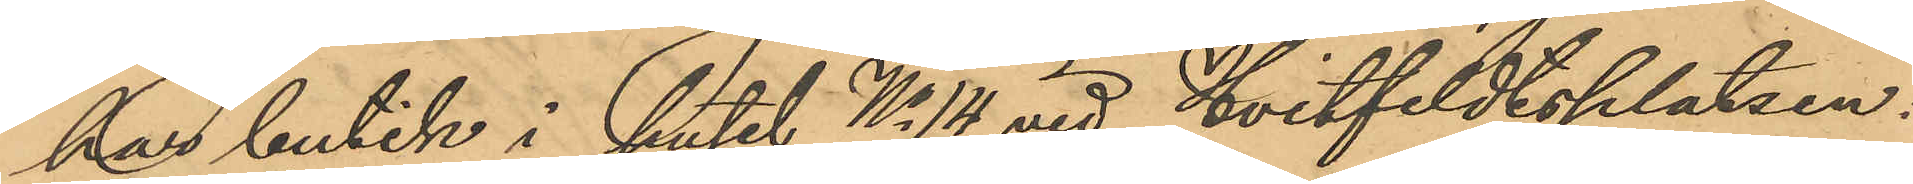har butik i huset No 14 vid Hvitfeldtsplatsen:
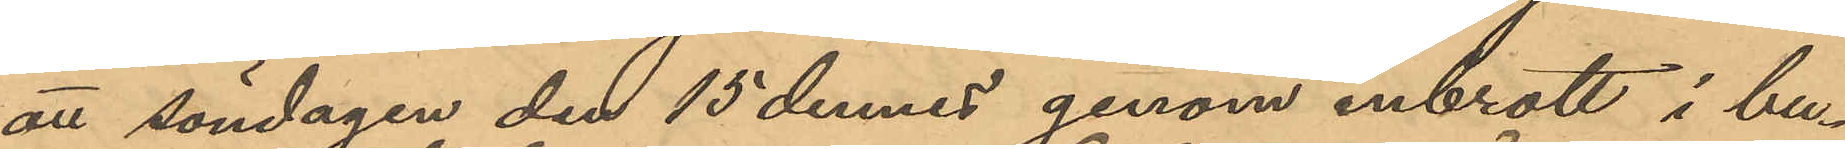att söndagen den 15 dennes genom inbrott i bu¬
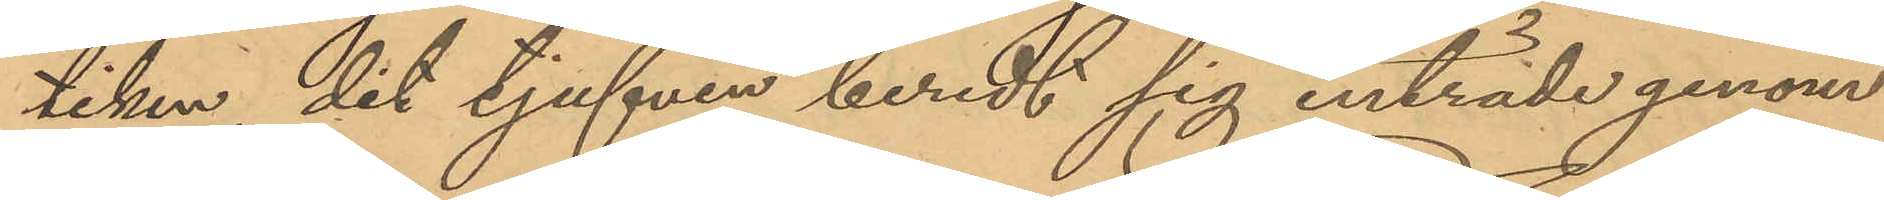tiken, dit tjufven beredt sig inträde genom
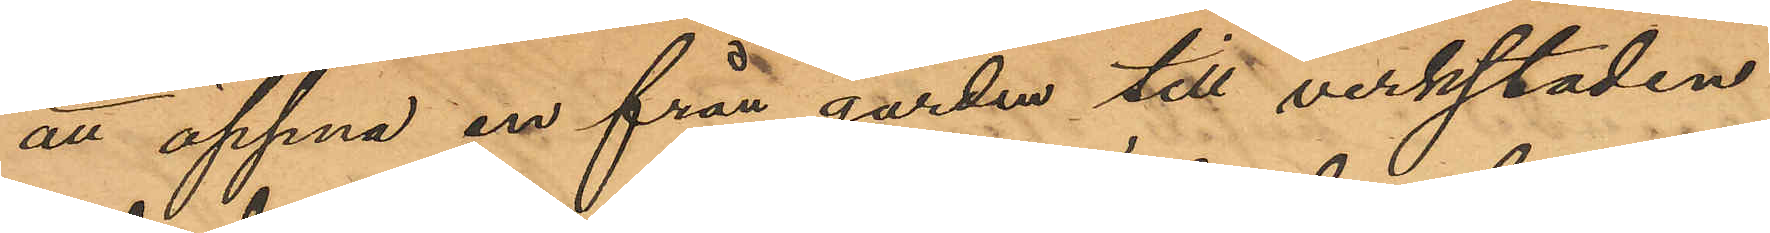att öppna en från gården till verkstaden
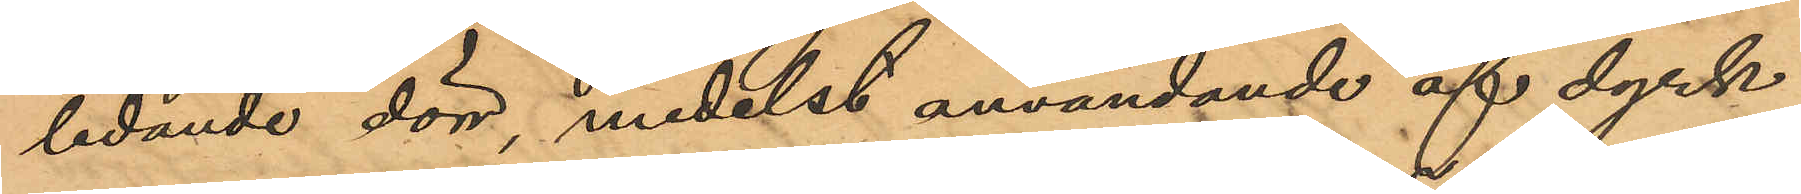ledande dörr, medelst användande af dyrk
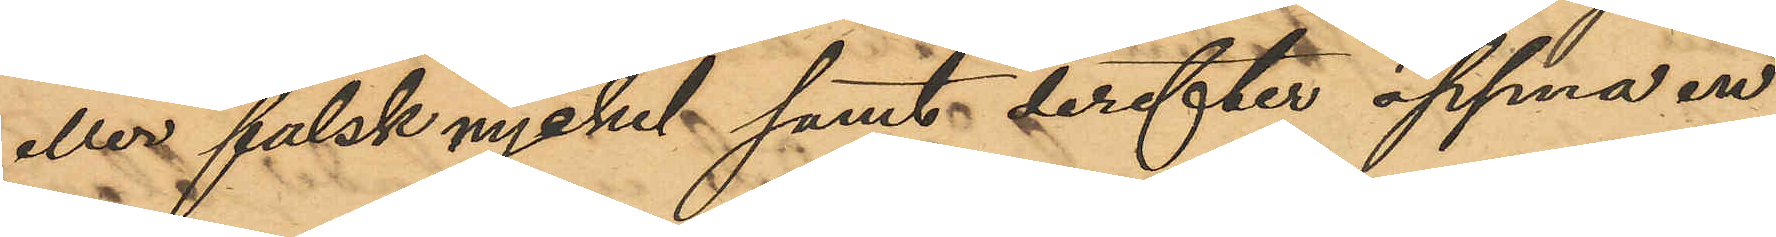eller falsk nyckel samt derefter öppna en
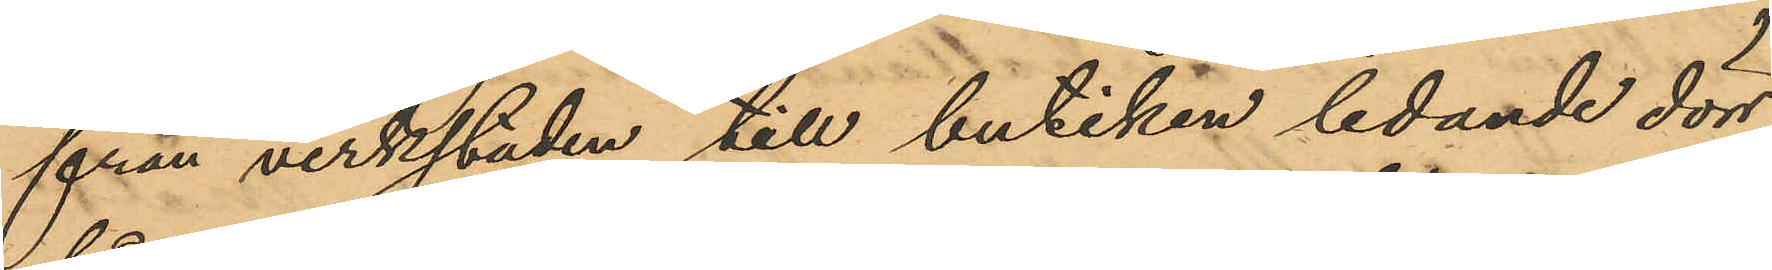från verkstaden till butiken ledande dörr
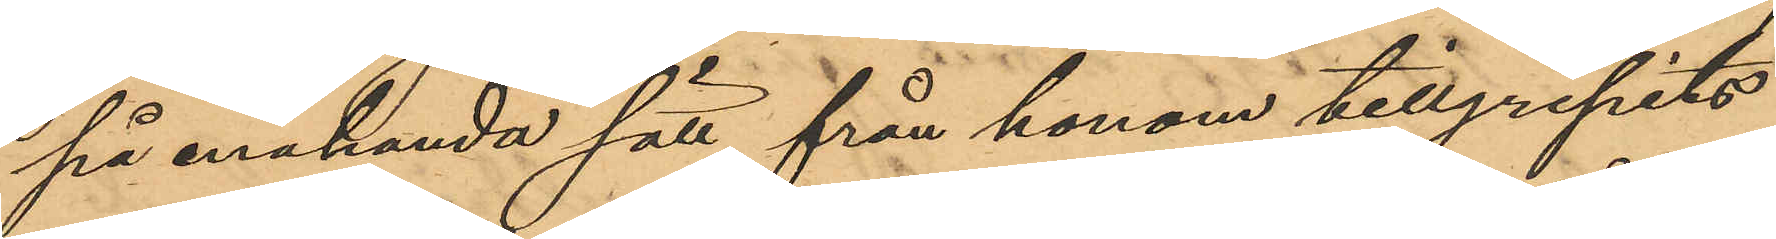på enahanda sätt från honom tillgripits
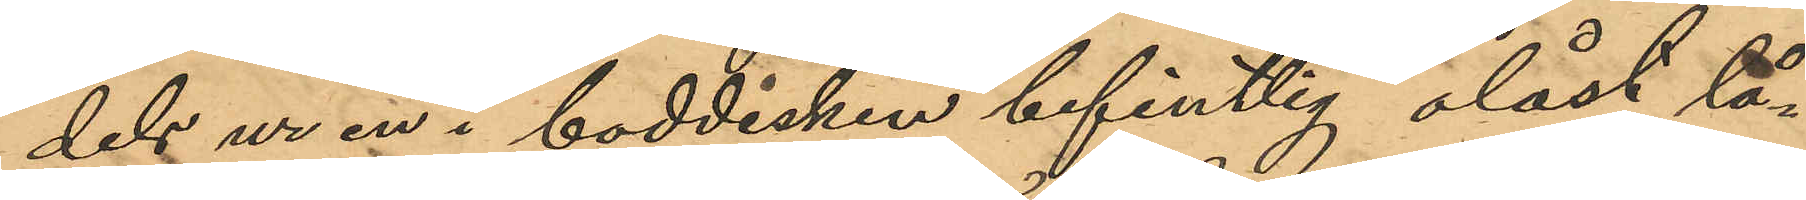dels ur en i boddisken befintlig olåst lå¬
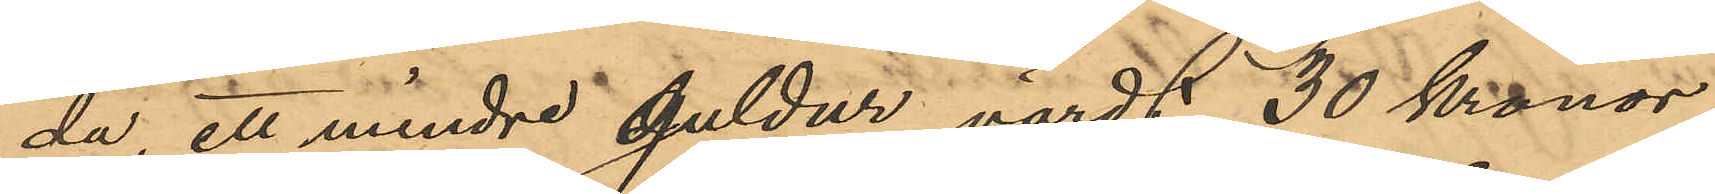da, ett mindre guldur, värdt 30 kronor,
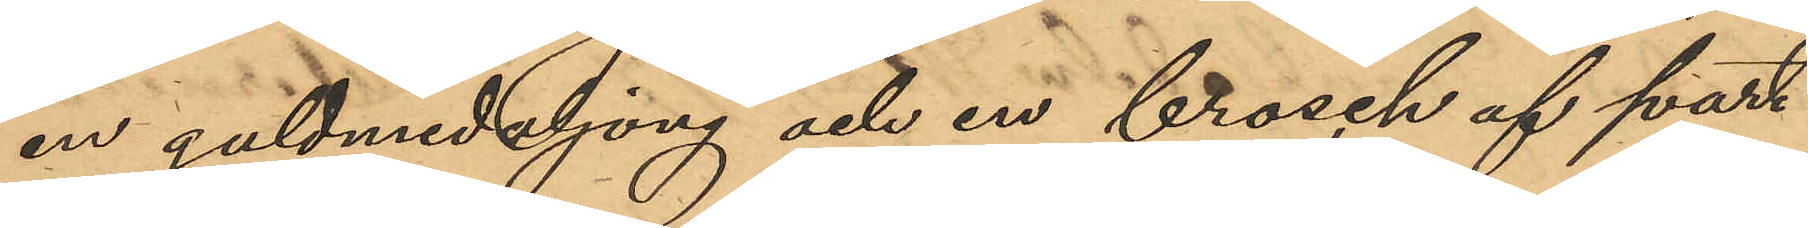en guldmedaljong och en brosch af svart
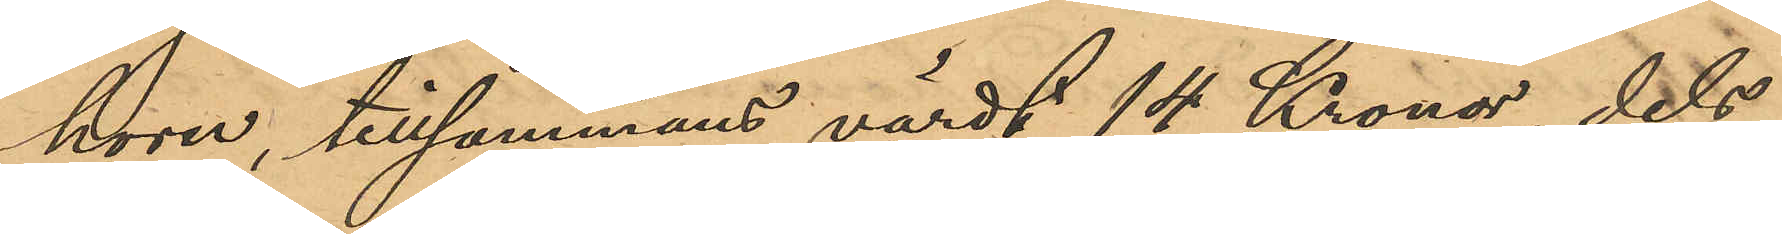horn, tillsammans värdt 14 Kronor, dels
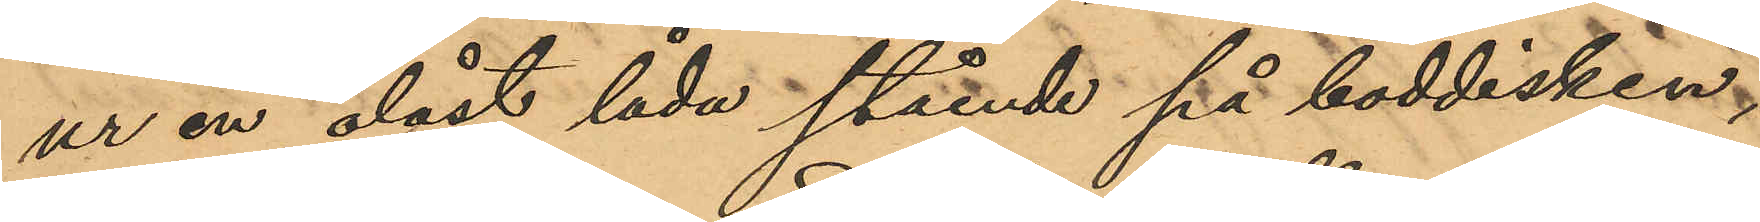ur en olåst låda stående på boddisken,
